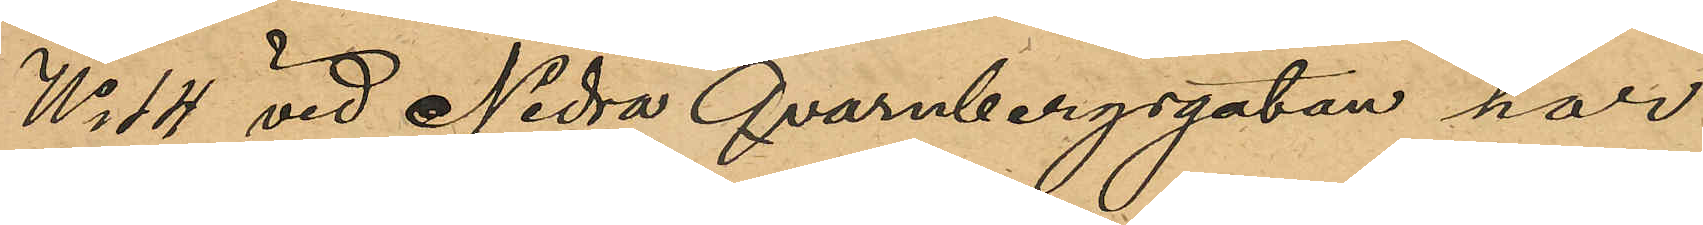No 14 vid Nedre Qvarnbergsgatan har
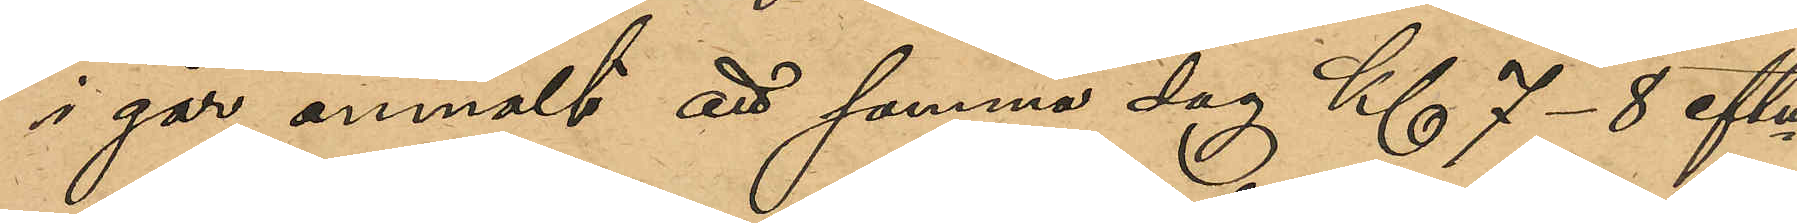i går anmält att samma dag Kl 7-8 eftm
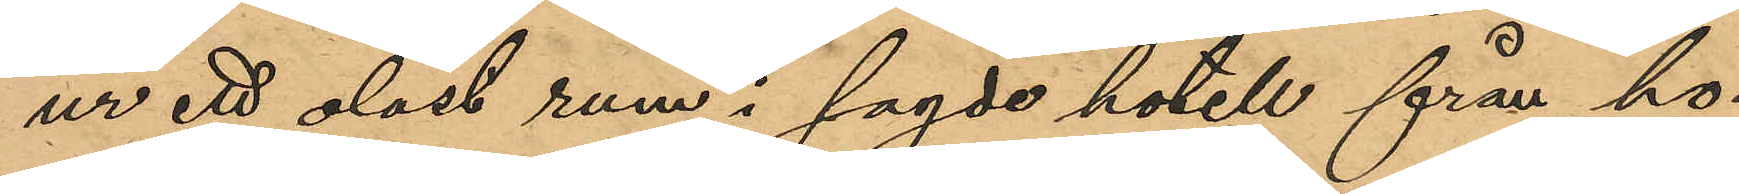ur ett olåst rum i sagde hotell från ho¬
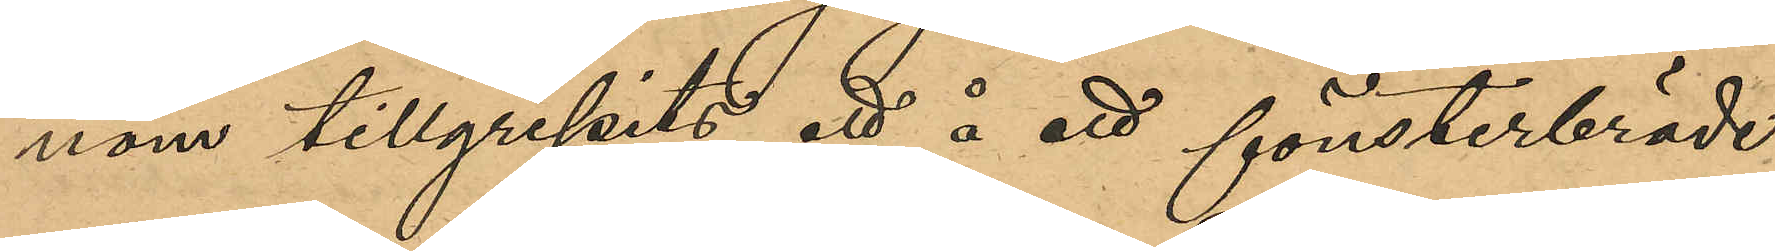nom tillgripits ett å ett fönsterbräde
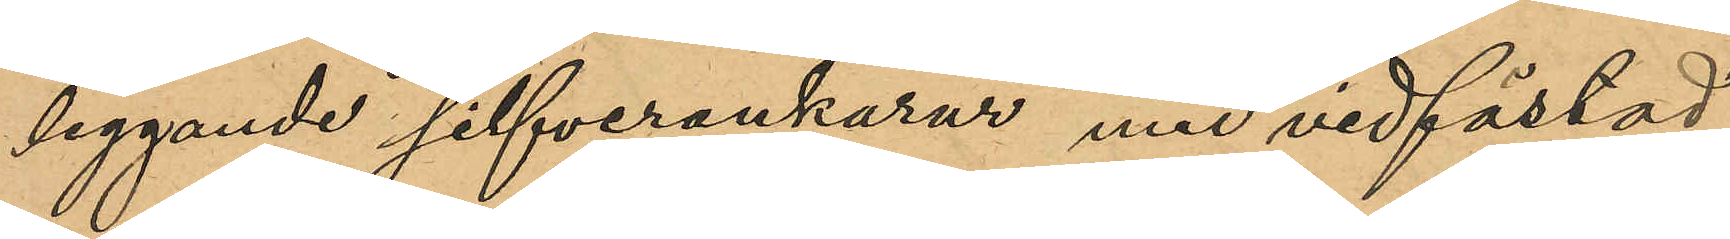liggande silfverankarur med vidfästad
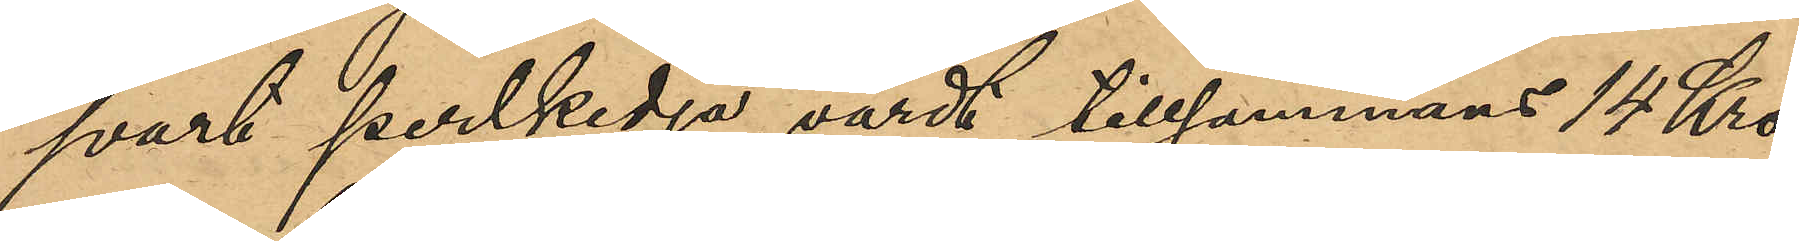svart perlkedja, värdt tillsammans 14 Kro¬
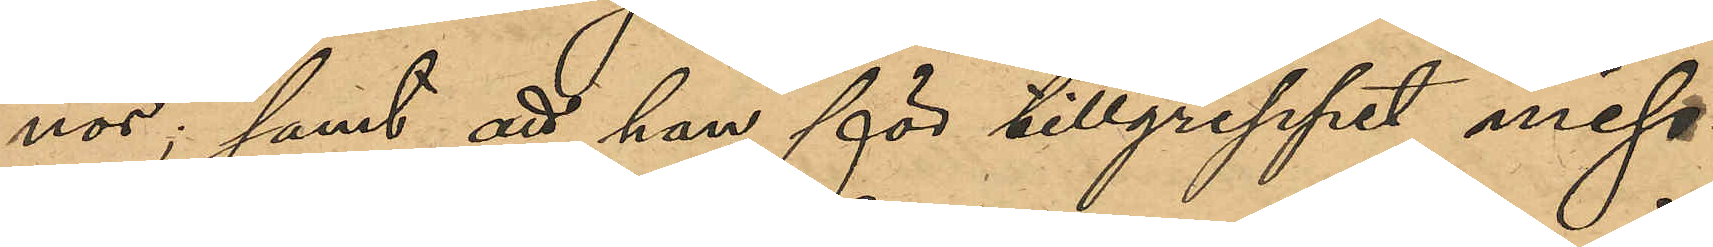nor; samt att han för tillgreppet miss¬
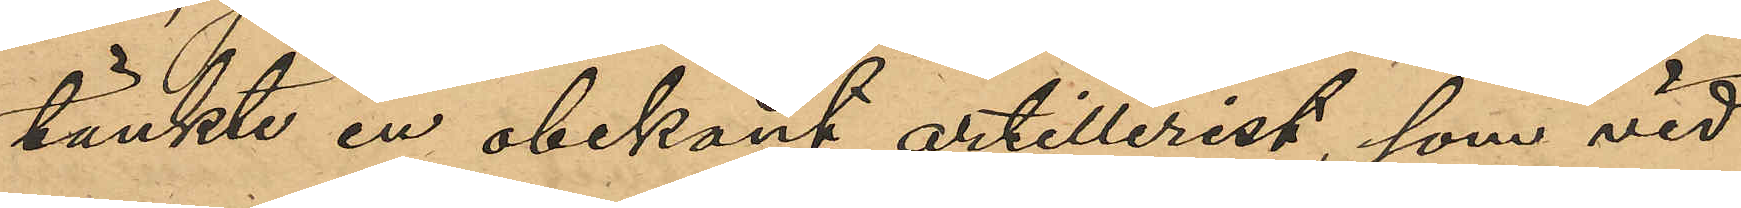tänkte en obekant artillerist, som vid 
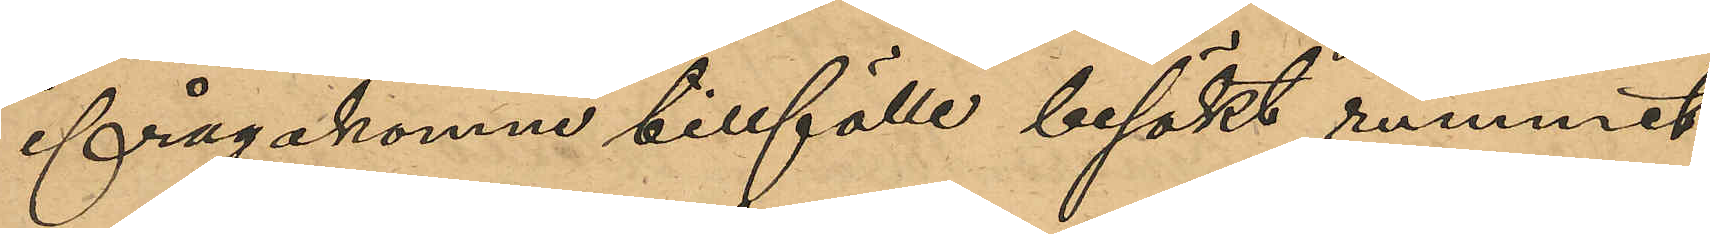ifrågakomne tillfälle besökt rummet.
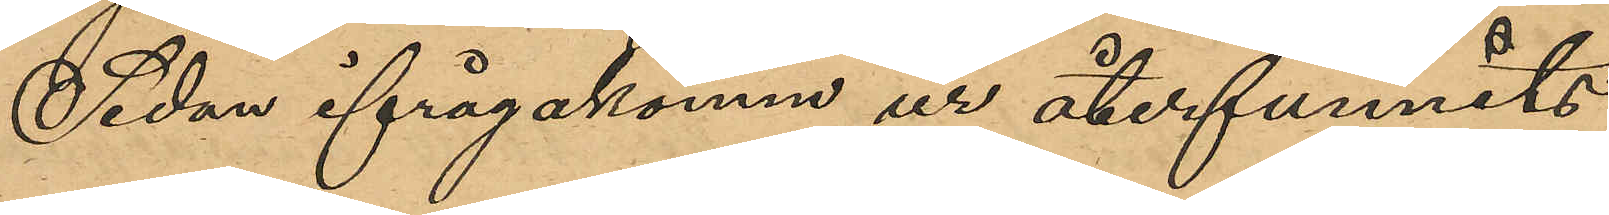Sedan ifrågakomne ur återfunnits
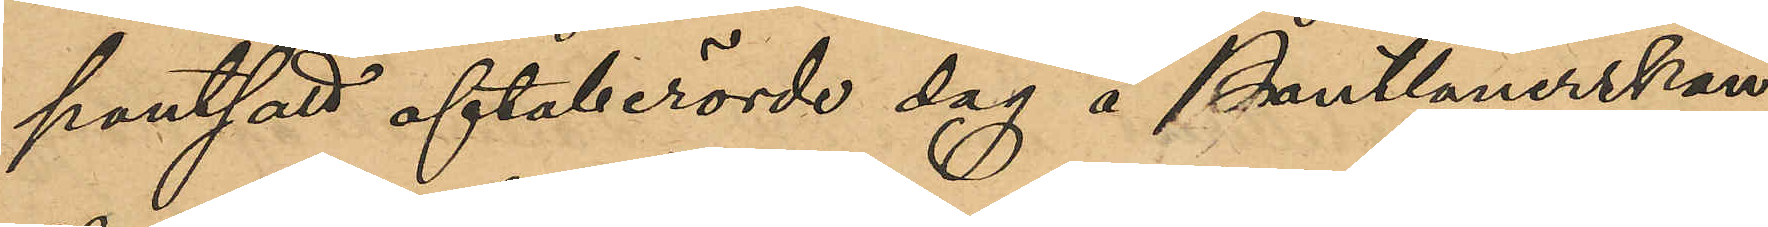pantsatt oftaberörde dag å Pantlånerskan
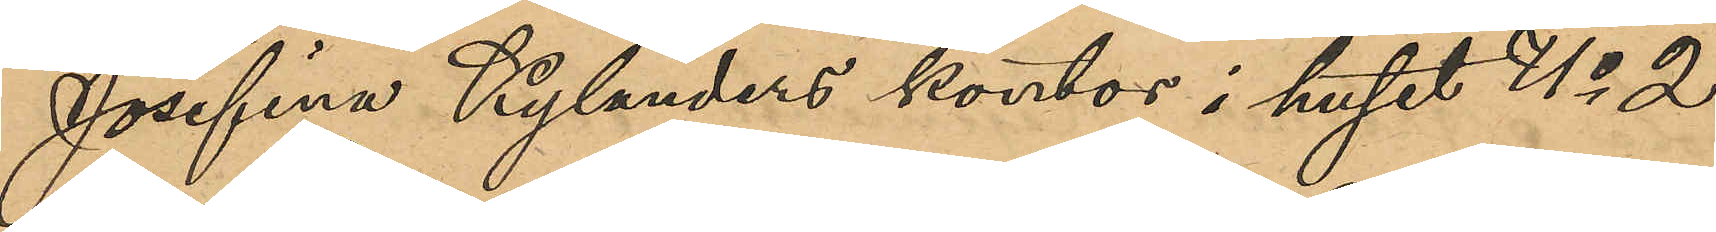Josefina Kylanders kontor i huset No 2
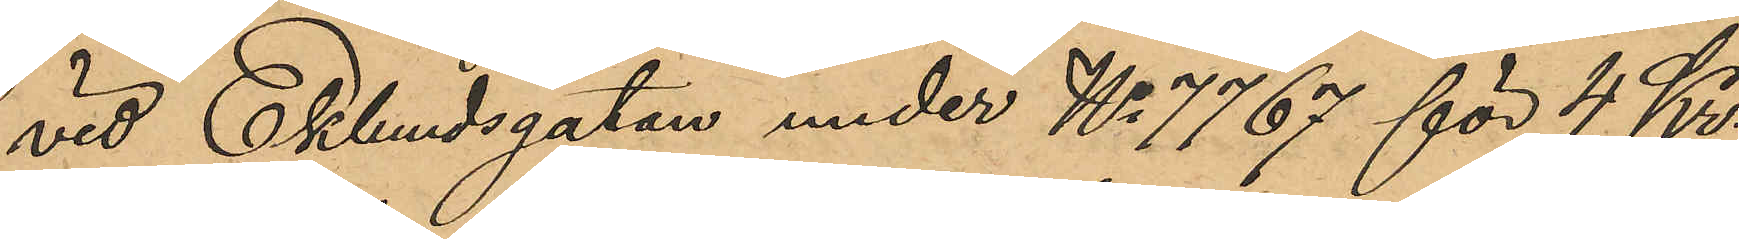vid Eklundsgatan under No 7767 för 4 Kr.
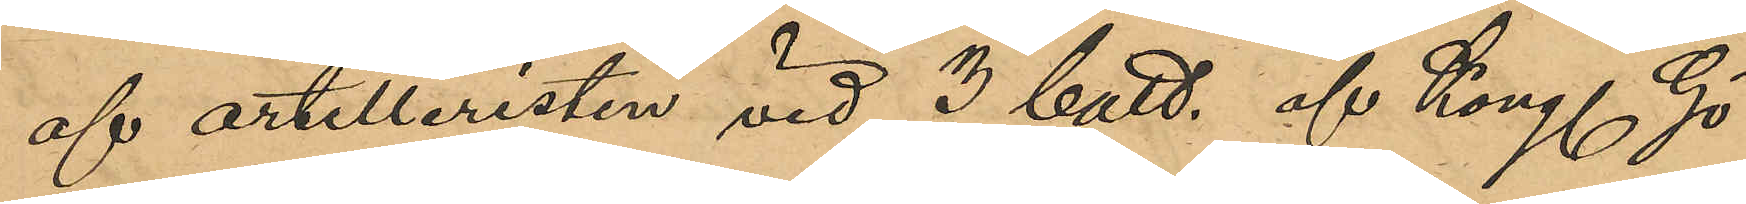af artilleristen vid 3 batt. af Kong. Gö¬
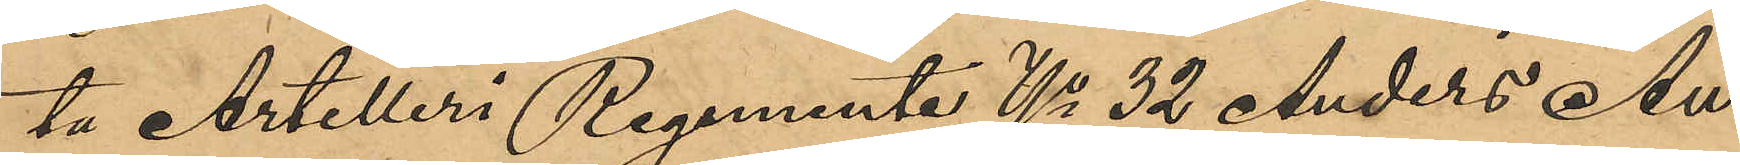ta Artilleri Regemente No 32 Anders Au¬
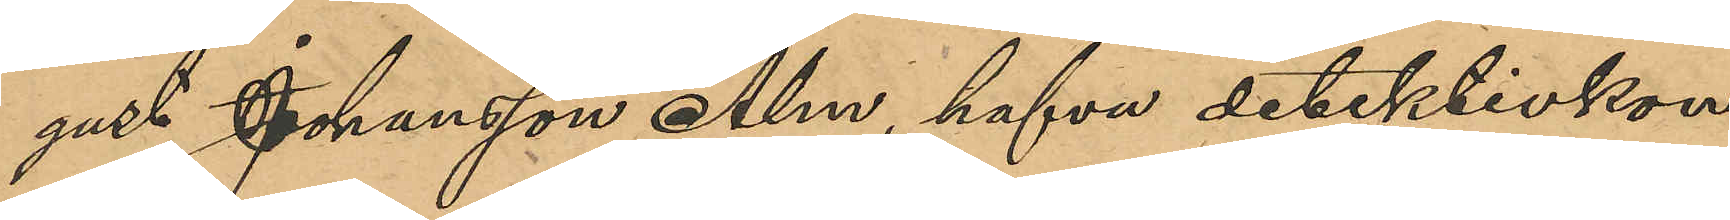gust Johansson Alm, hafva detektivkon¬
